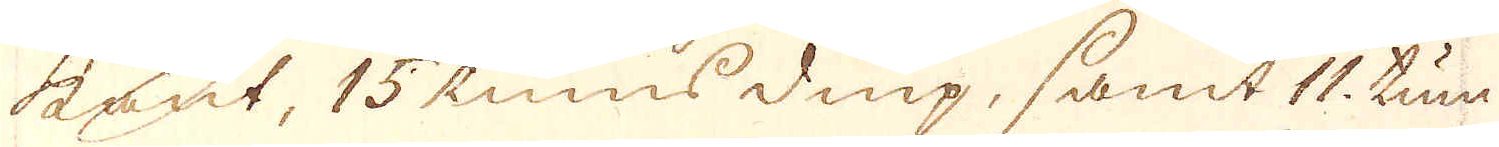kant, 15. tums diup, samt 11. tum
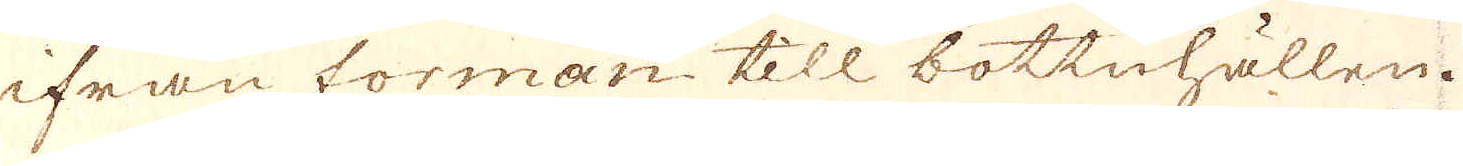ifrån forman till bottnhällen.
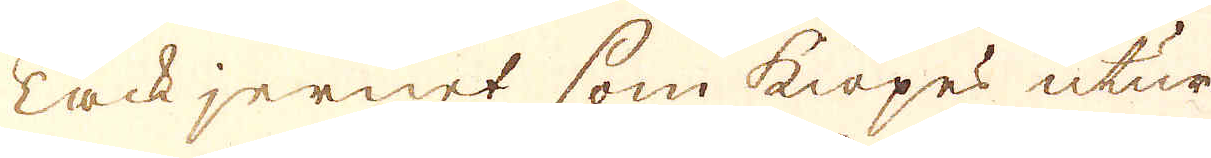Tackjernet som kiöpes utur
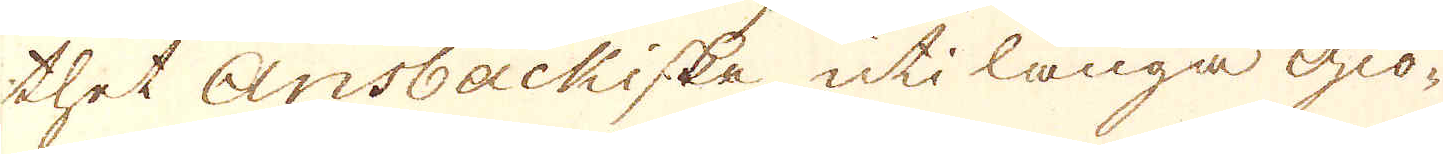thet Ansbackiske uti långa giö-
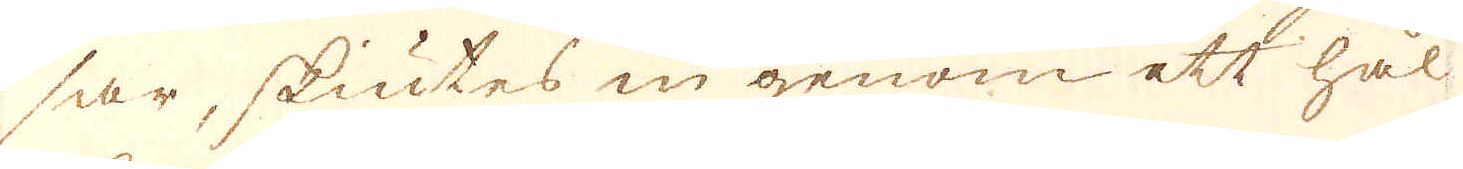sar, skiutes in genom ett hål
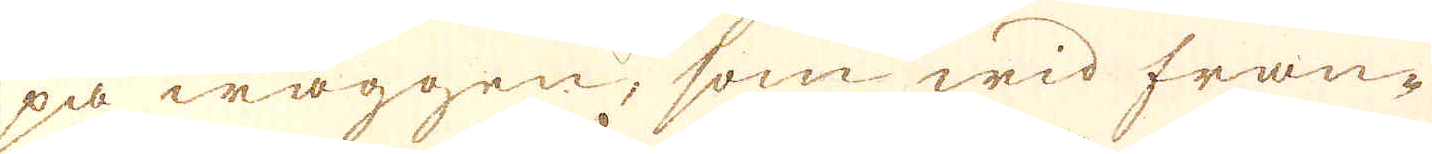på wäggen, som wid fran-
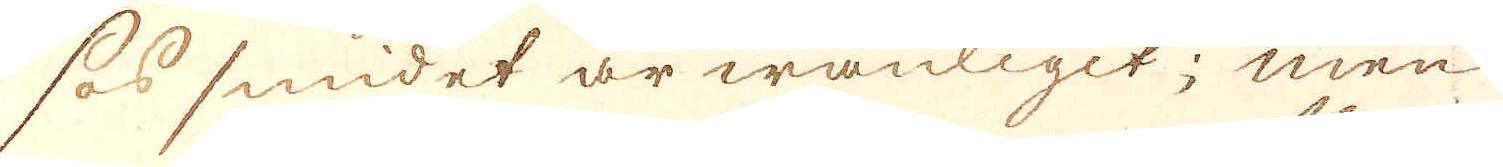sos smidet är wanligit; men
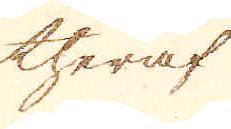theraf
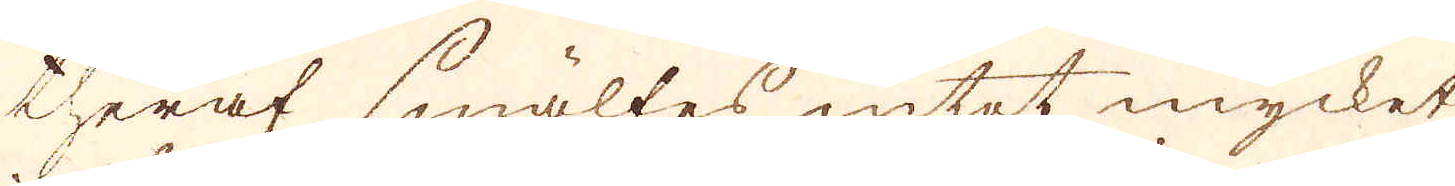theraf smältes intet mycket
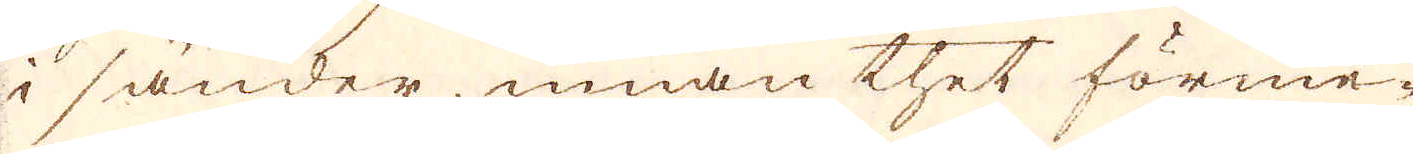i sänder, innan thet förme-
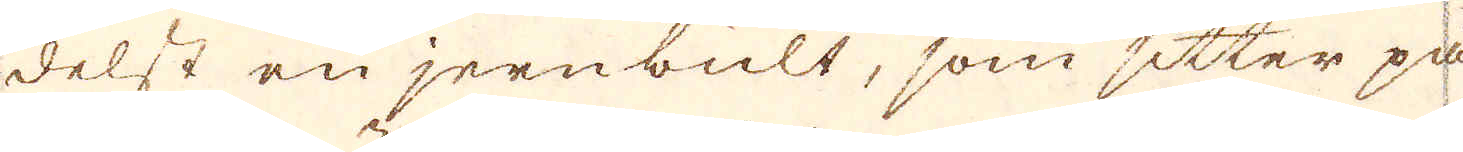delst en jernbult, som sitter på
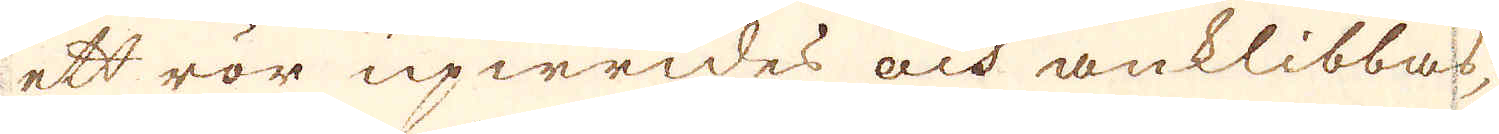ett rör upwrides och anklibbas,
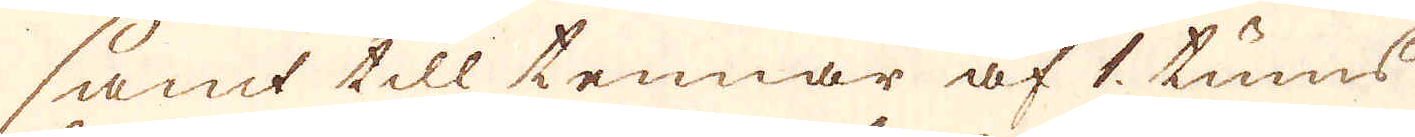samt till tennar af 1. tums
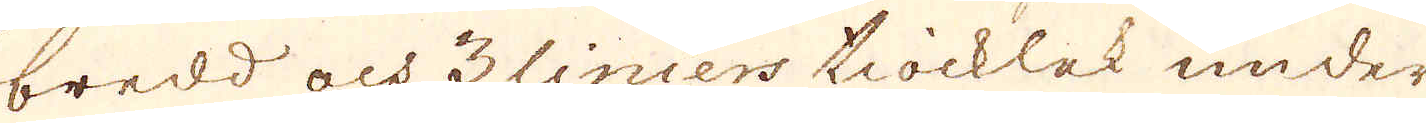bredd och 3 liniers tiocklek under
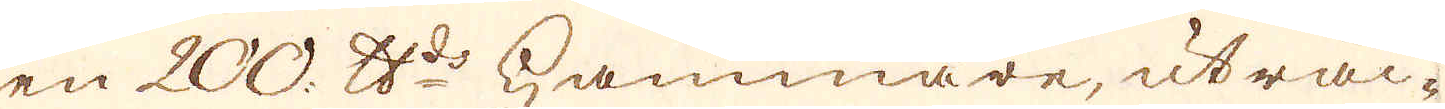en 200 skålpunds hammare, uträc-
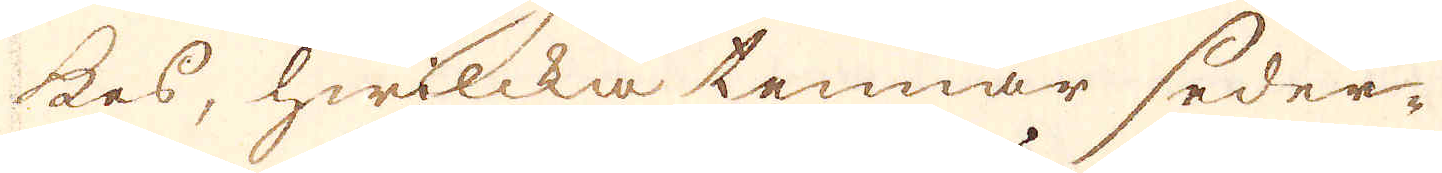kes, hwilcka tennar seder-
